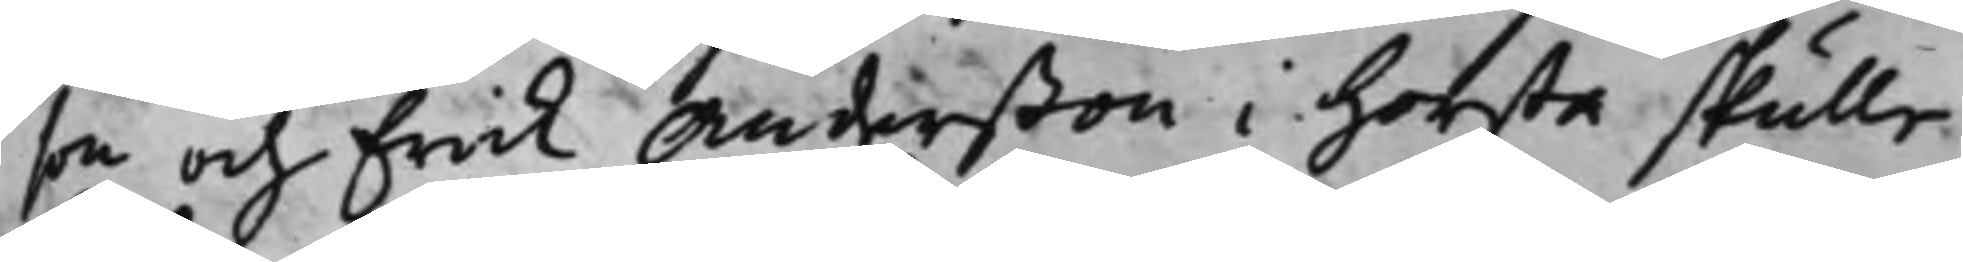son och Erick Anderßon i Horsta skulle
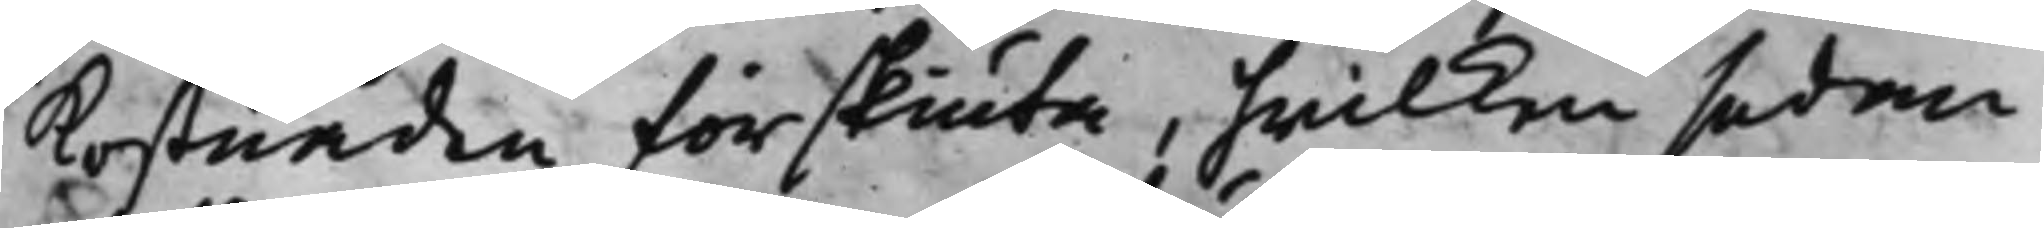kostnaden förskiuta, hwilken sedan
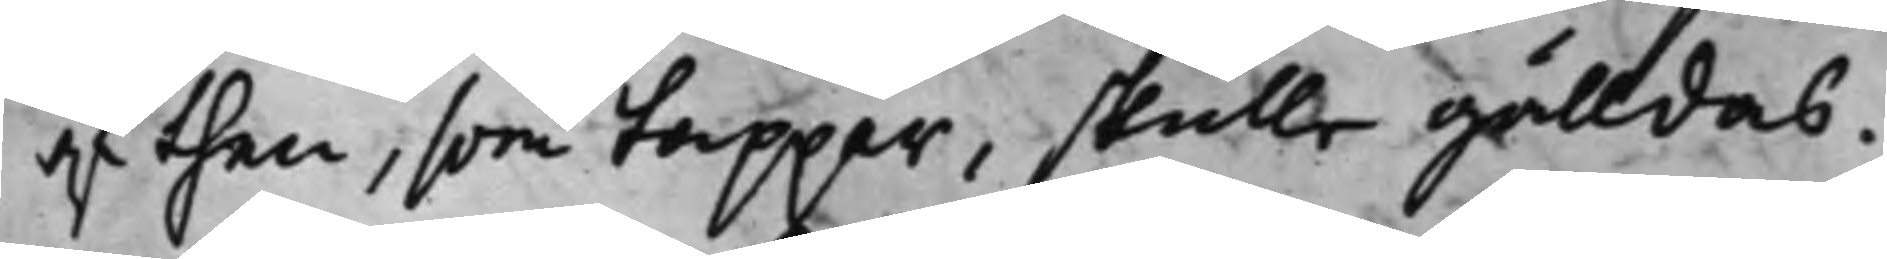af then, som tappar, skulle gälldas.
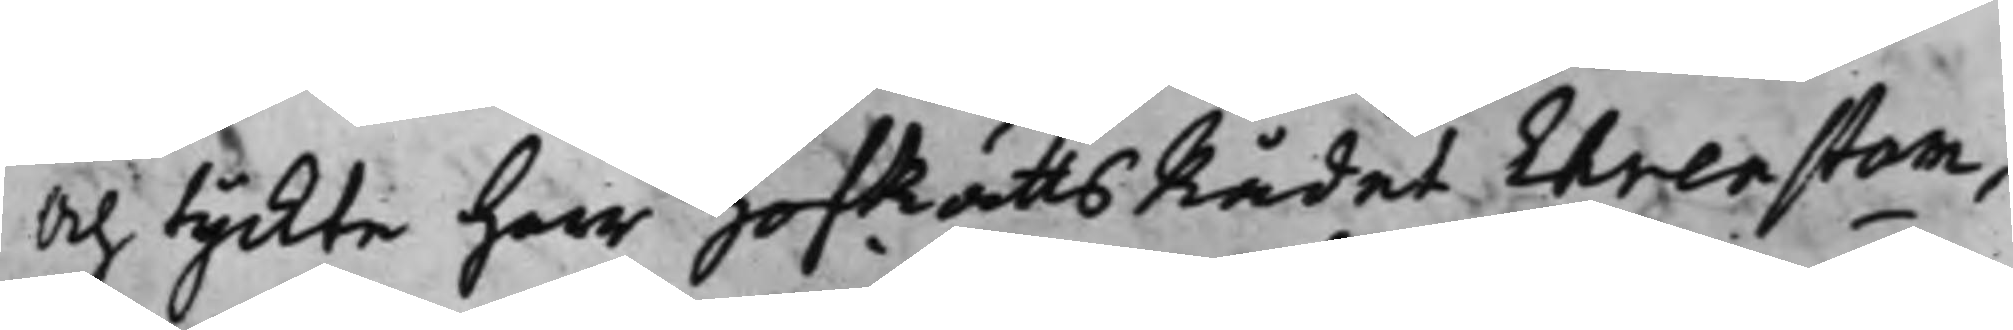Och tyckte Herr HofRättsRådet Ehrenstam,
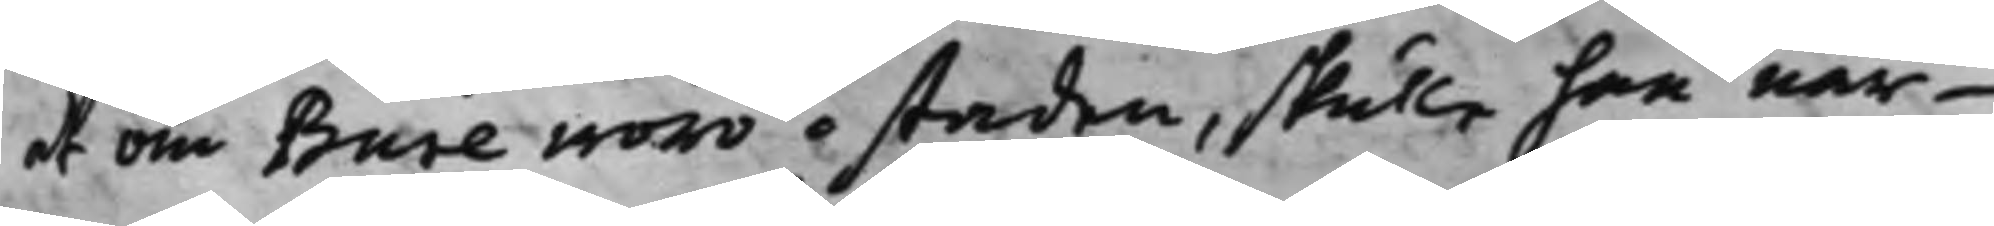at om Bure woro i staden, skulle han när¬
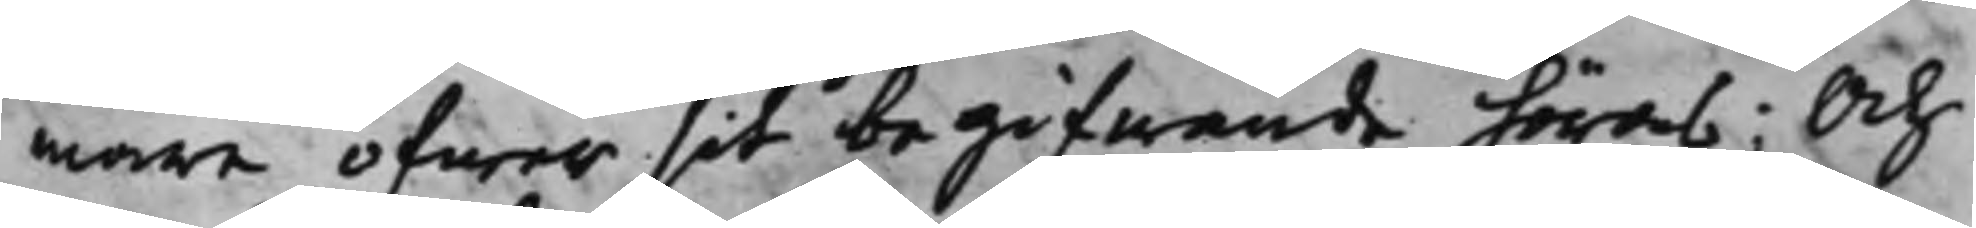mare öfwer sit begifwande höras; Och
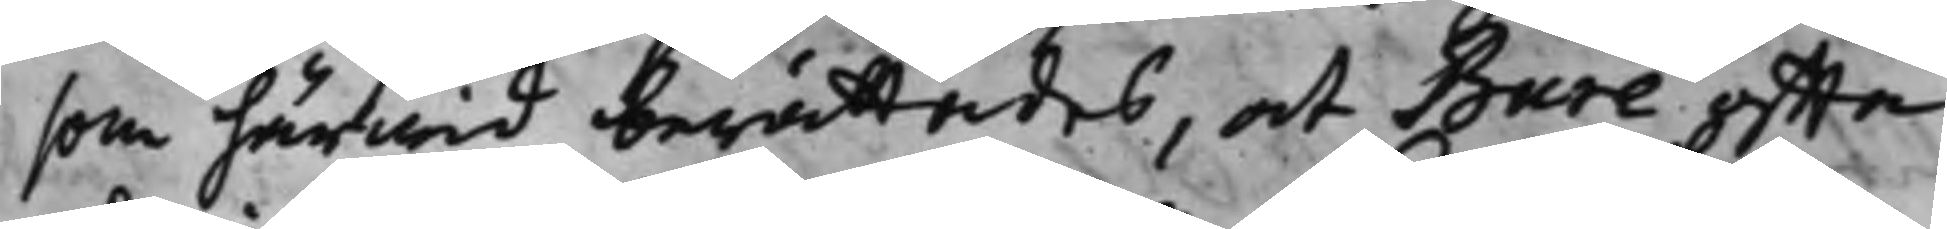som härwid berättades, at Bure offta
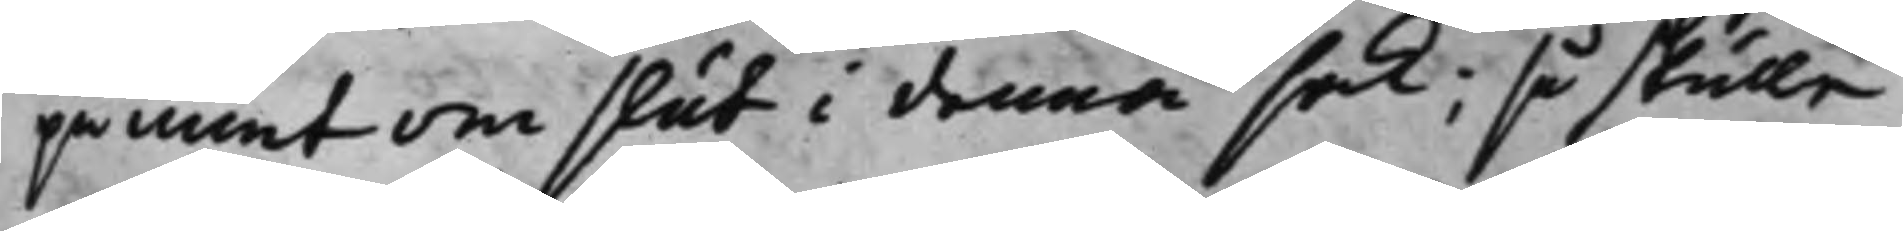påmint om slut i denna sak; så skulle
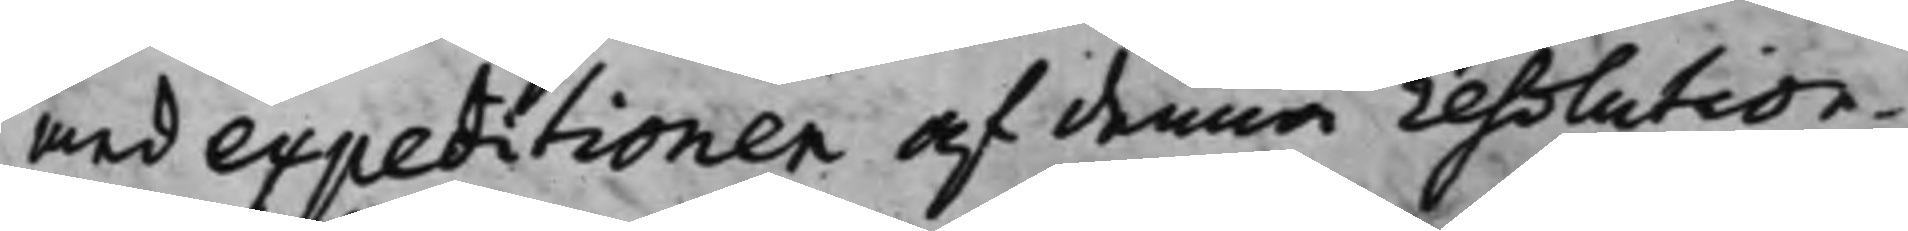med expeditionen af denna resolution
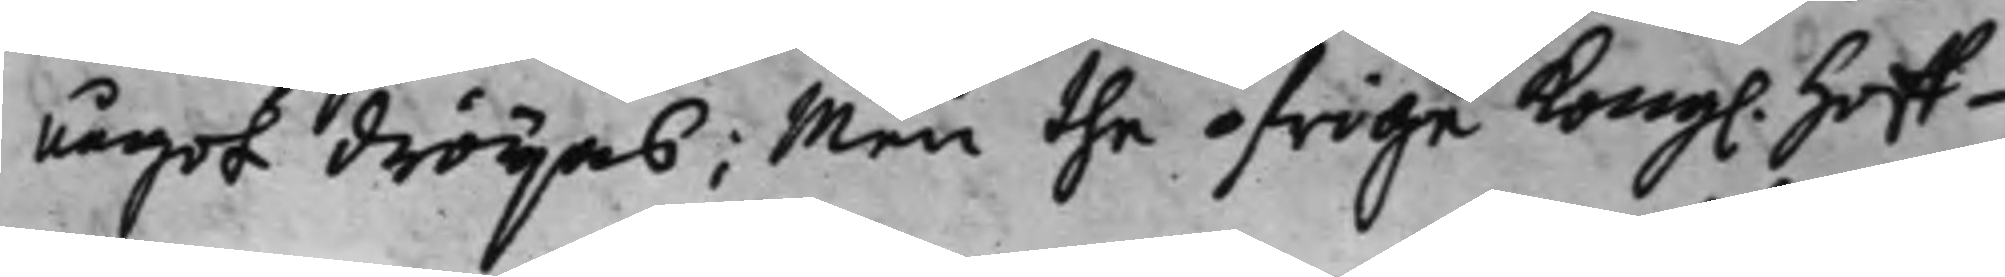något dröijas; Men the öfrige Kong. Hoff¬
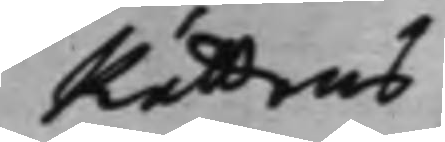Rättens
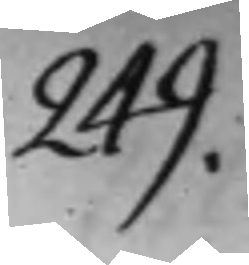249.
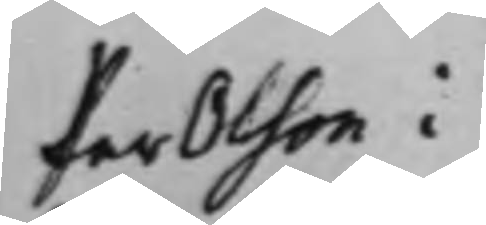Per Olson i
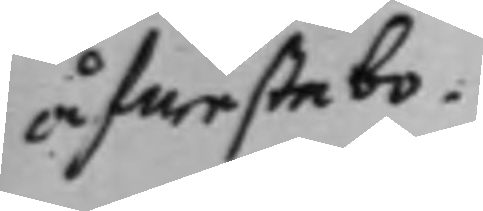Åfwestebo
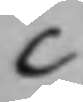C
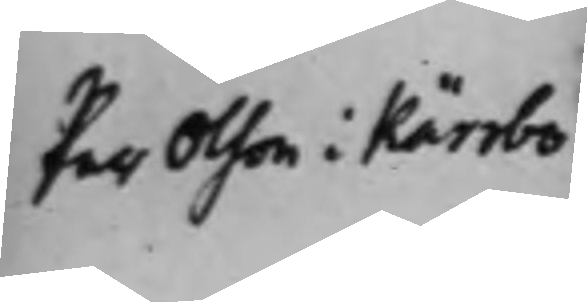Per Olson i Kärrbo
